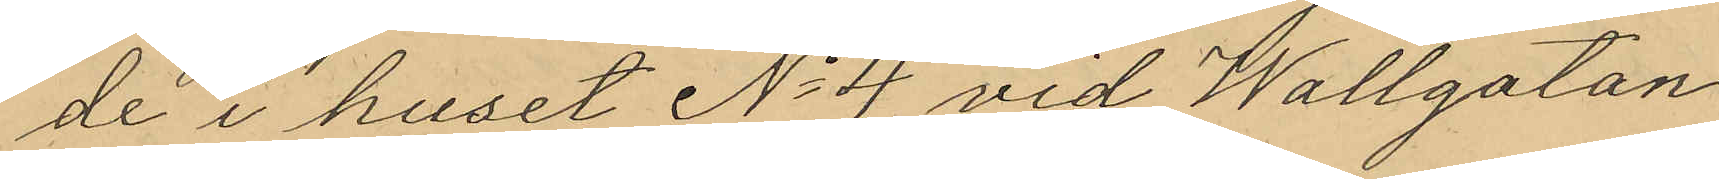de i huset No 4 vid Wallgatan
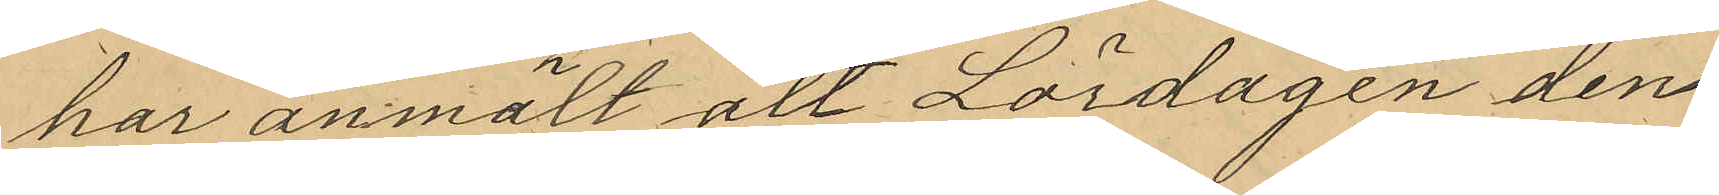har anmält att Lördagen den
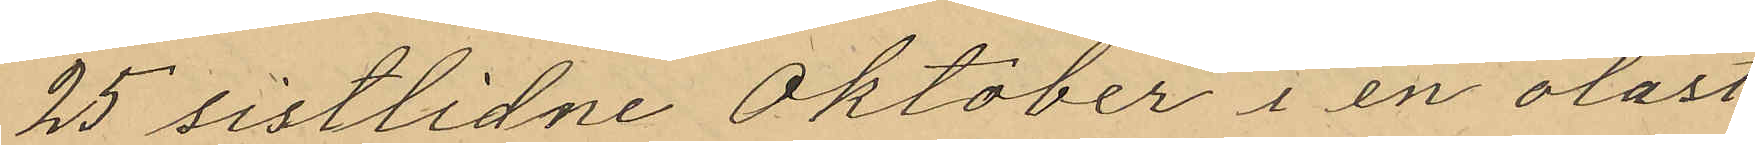25 sistlidne Oktober i en olåst
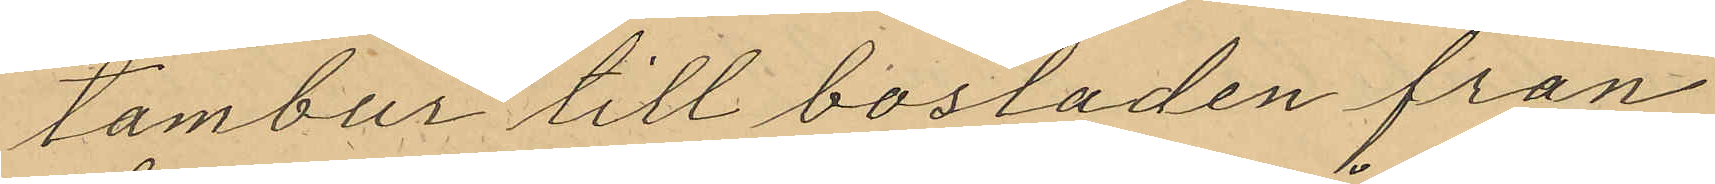tambur till bostaden från
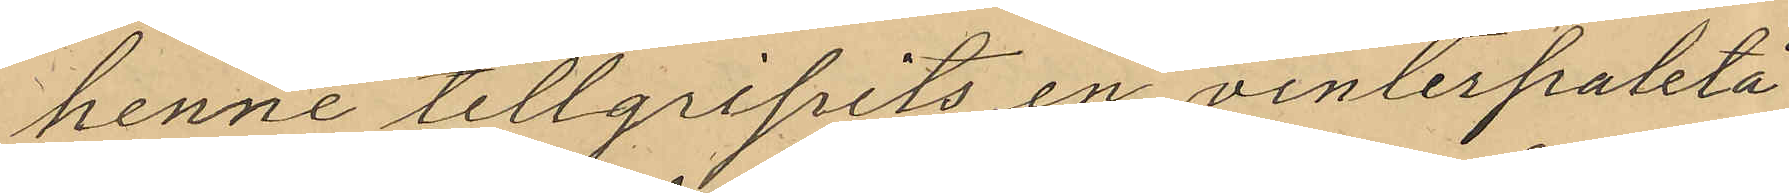henne tillgripits en vinterpaletå
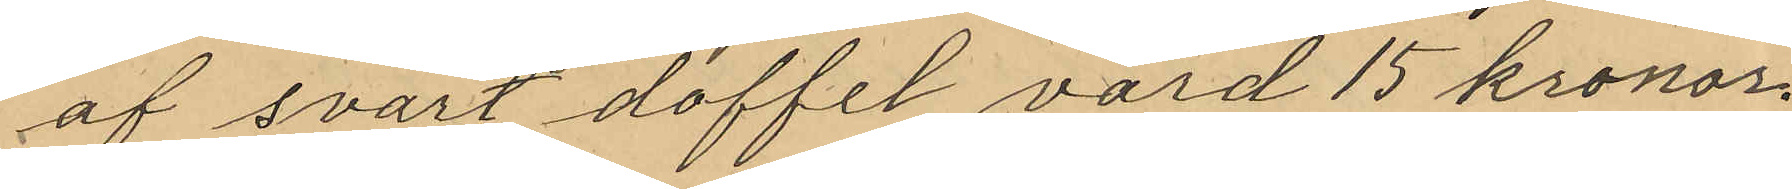af svart doffel värd 15 kronor.
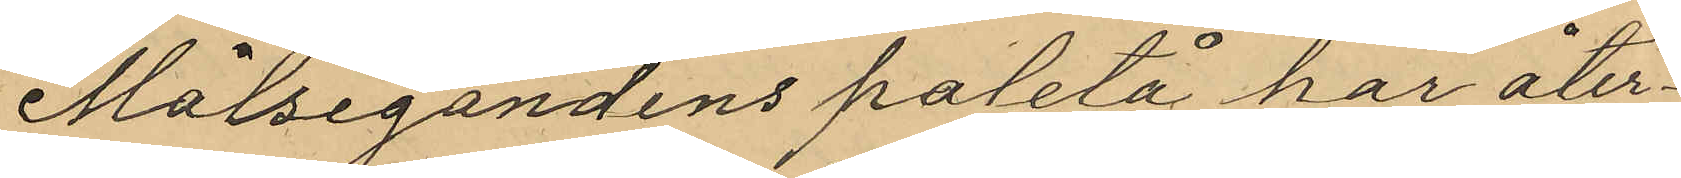Målsegandens paletå har åter¬
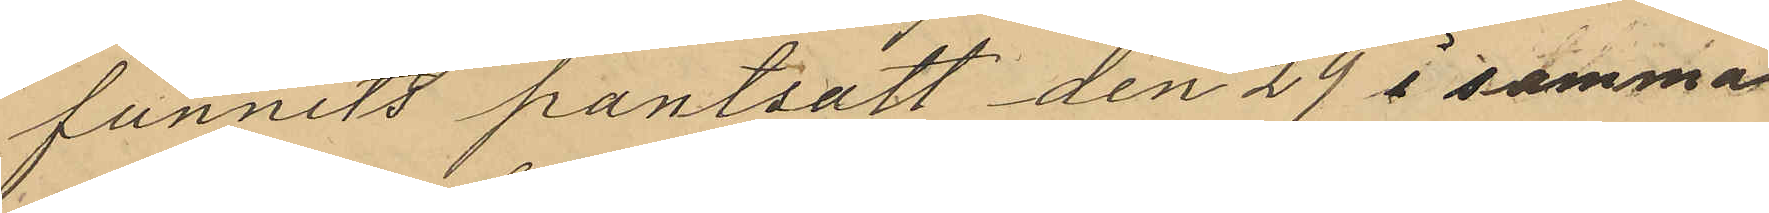funnits pantsatt den 29 i samma
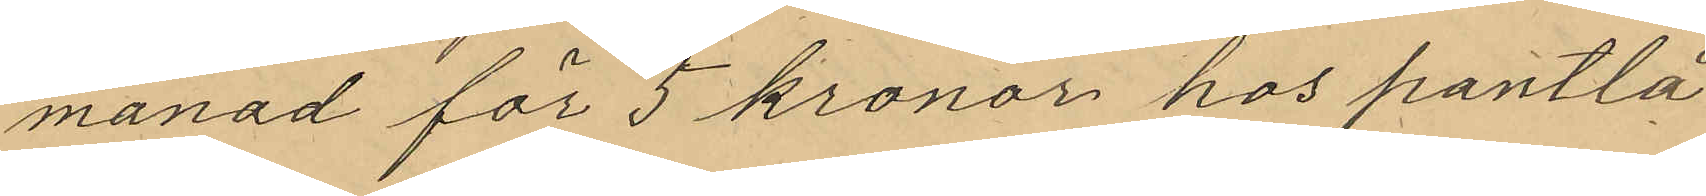månad för 5 kronor hos pantlå¬
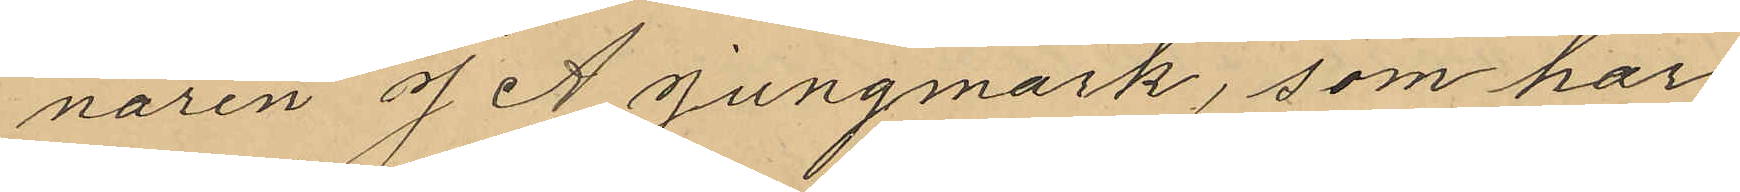naren J. A Jungmark, som har
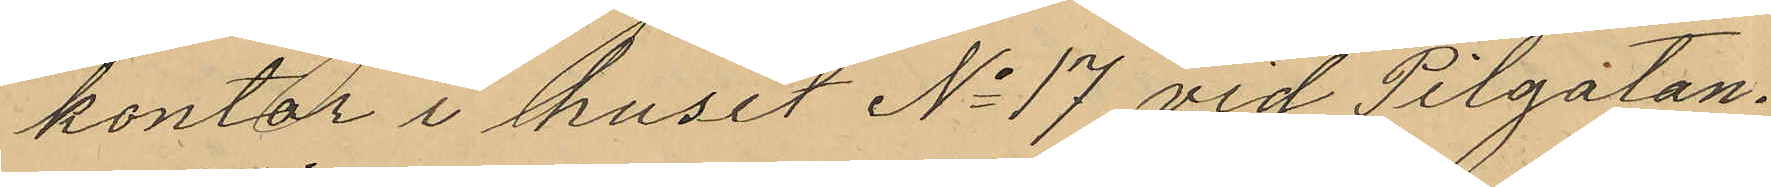kontor i huset No 17 vid Pilgatan.
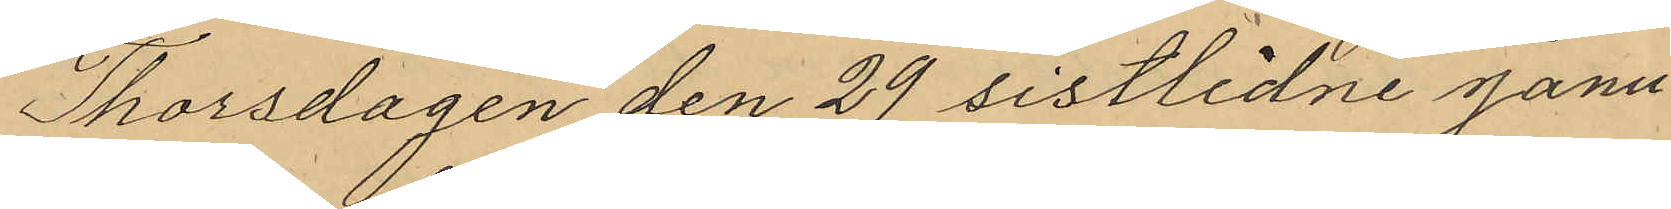Thorsdagen den 29 sistlidne Janu¬
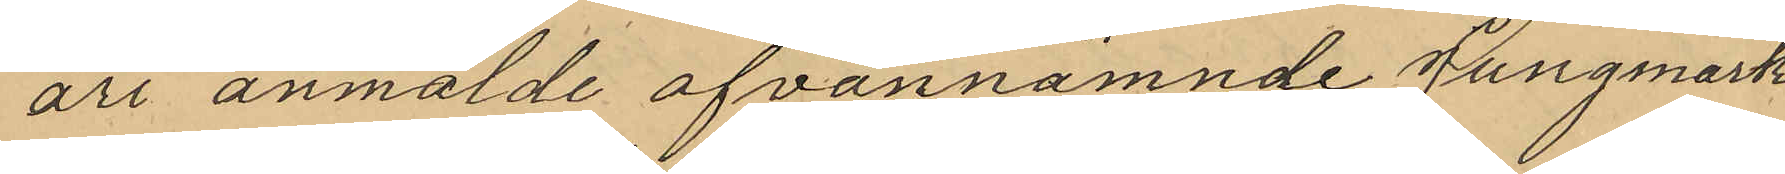ari anmalde ofvannämnde Jungmark
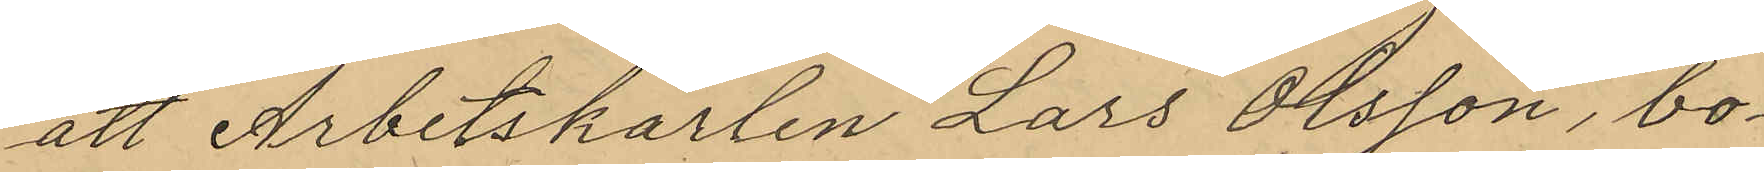att Arbetskarlen Lars Olsson, bo¬
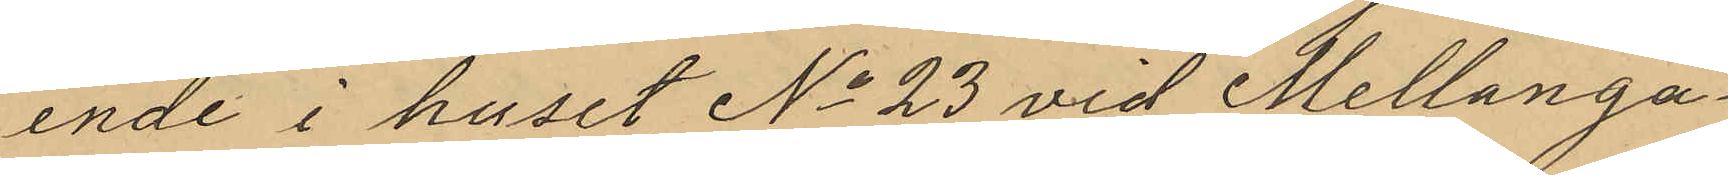ende i huset No 23 vid Mellanga¬
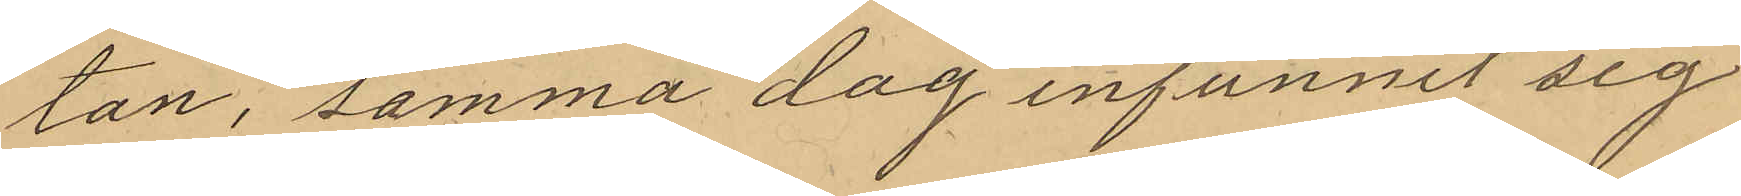tan, samma dag infunnit sig
